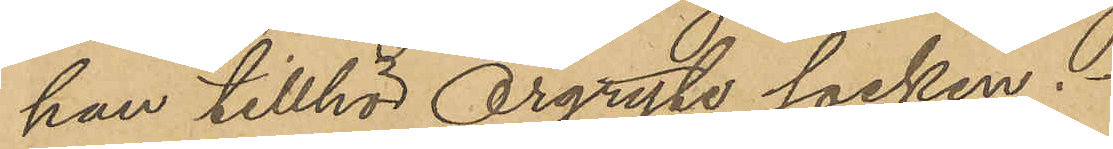han tillhör Örgryte socken.
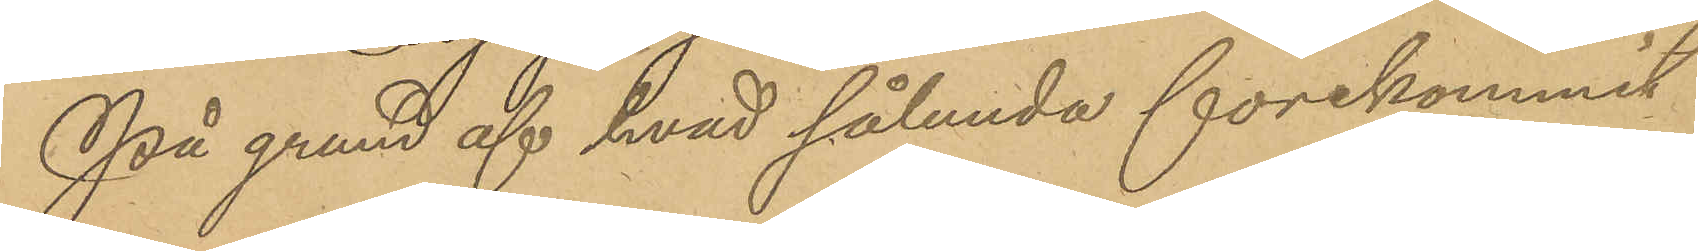På grund af hvad sålunda förekommit
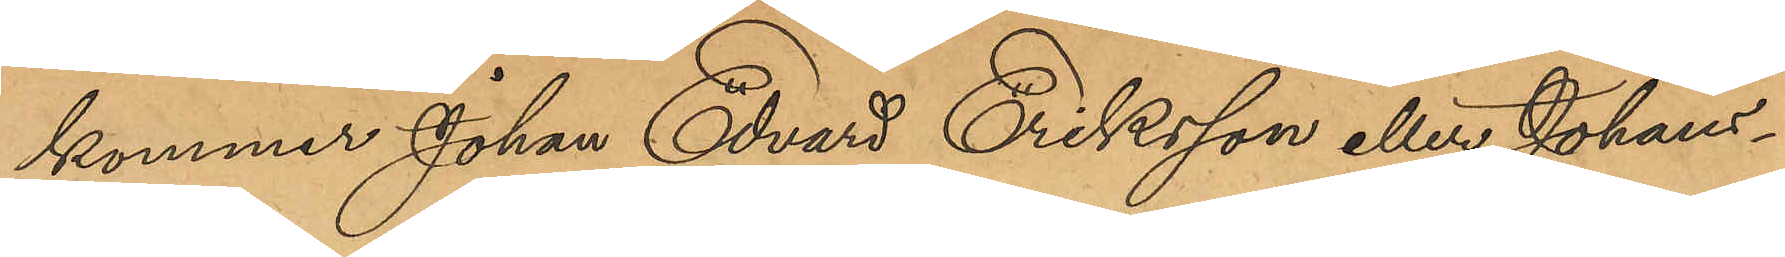kommer Johan Edvard Eriksson eller Johans¬
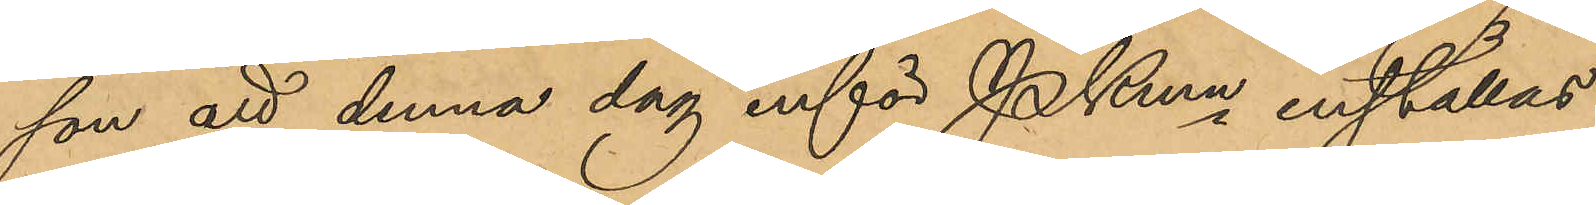son att denna dag inför Pkmn inställas.
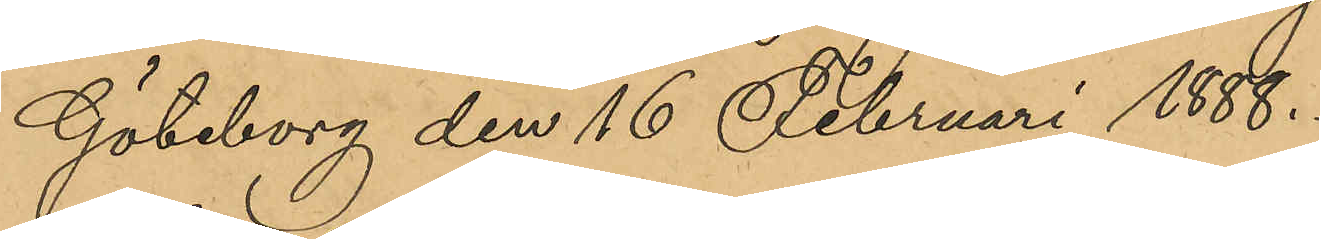Göteborg den 16 Februari 1888.
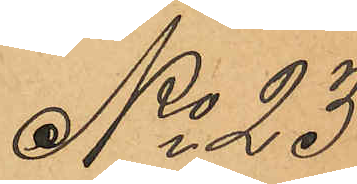No 23
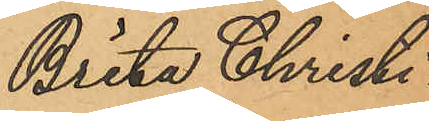Brita Christi¬
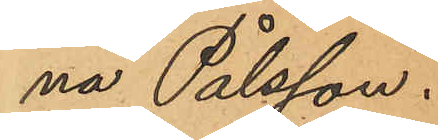na Pålsson.
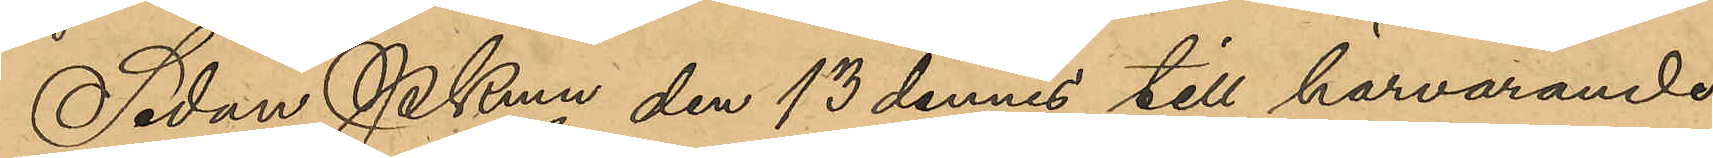Sedan PKmn den 13 dennes till härvarande 
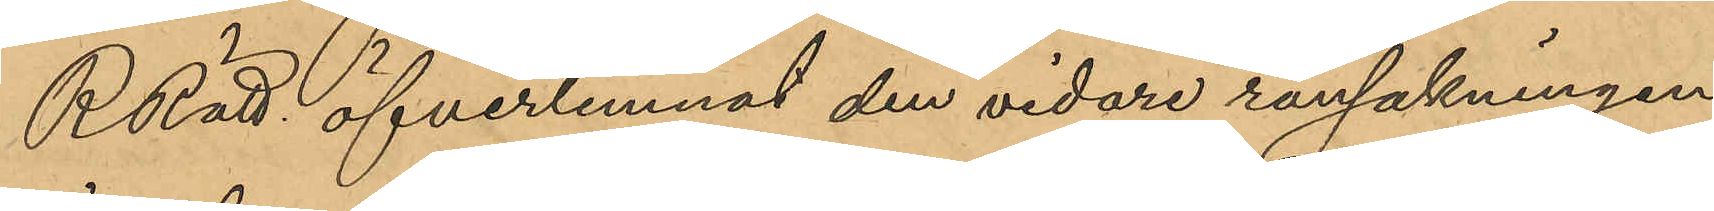RRätt öfverlemnat den vidare rannsakningen
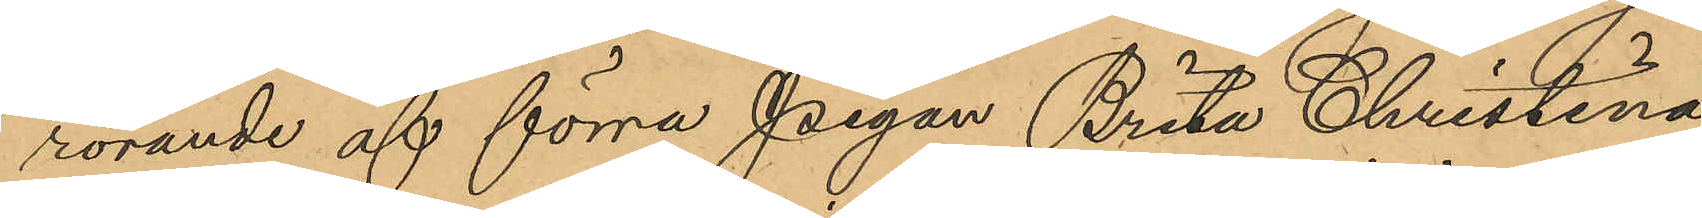rörande af förra pigan Brita Christina
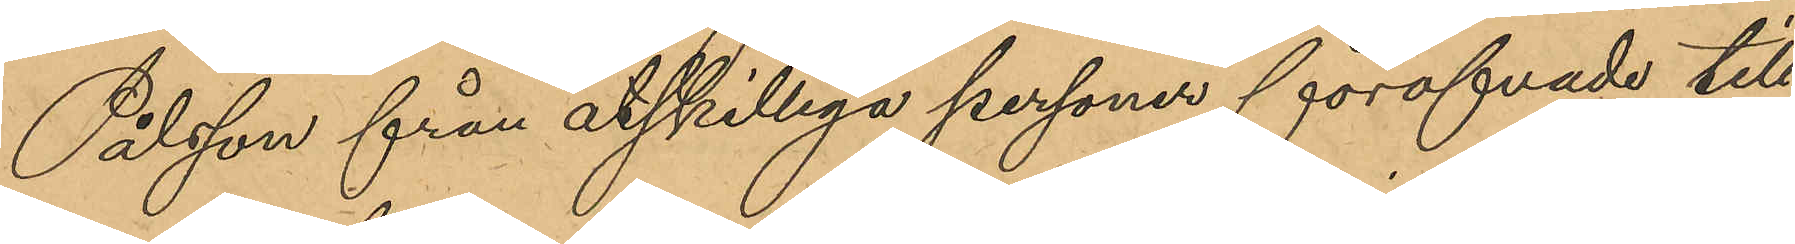Pålsson från åtskilliga personer föröfvade till¬
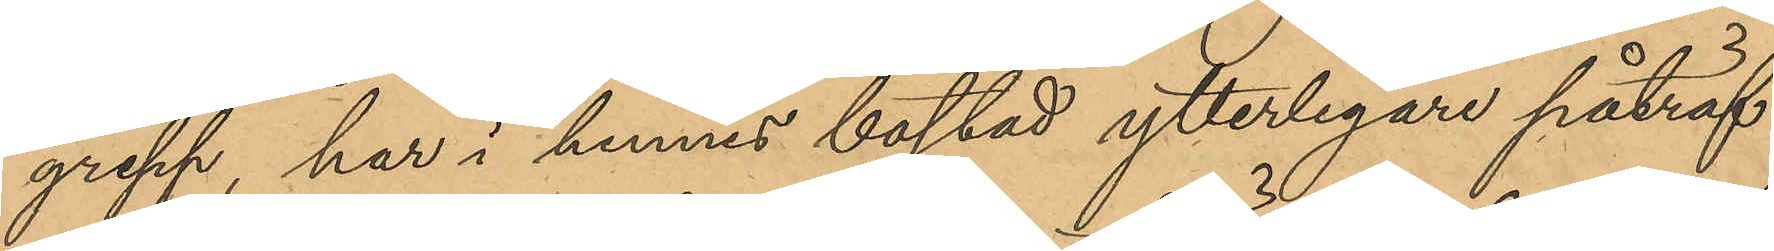grepp, har i hennes bostad ytterligare påträf¬
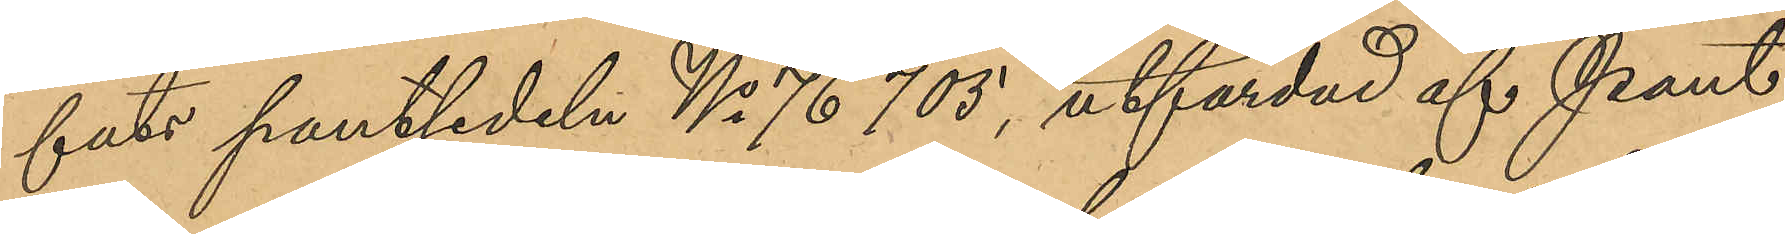fats pantsedeln No 76703, utfärdad af Pant¬
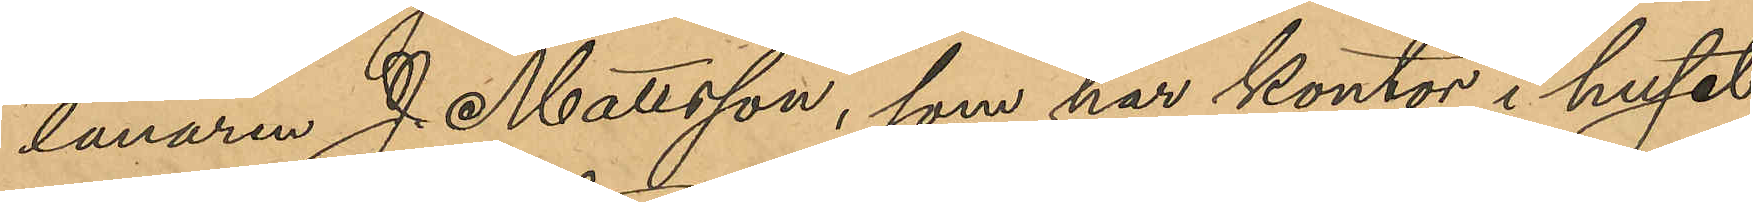lånaren J. Mattsson, som har kontor i huset
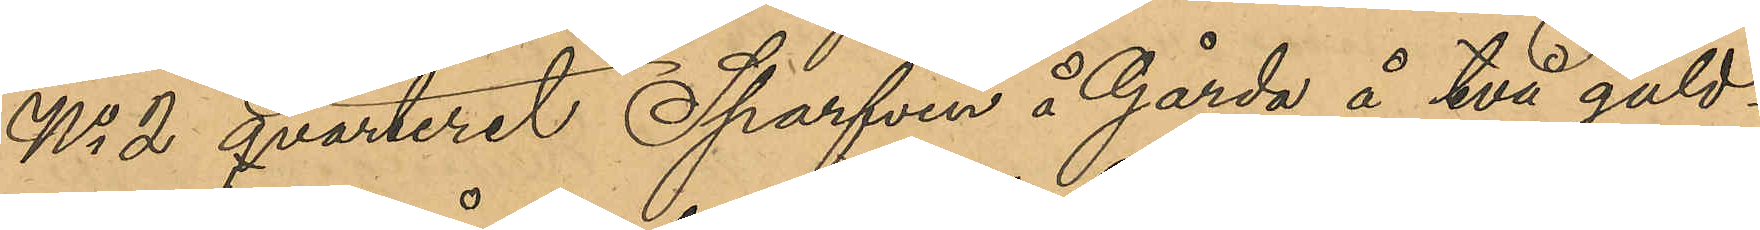No 2 qvarteret Sparfven å Gårda å två guld¬
